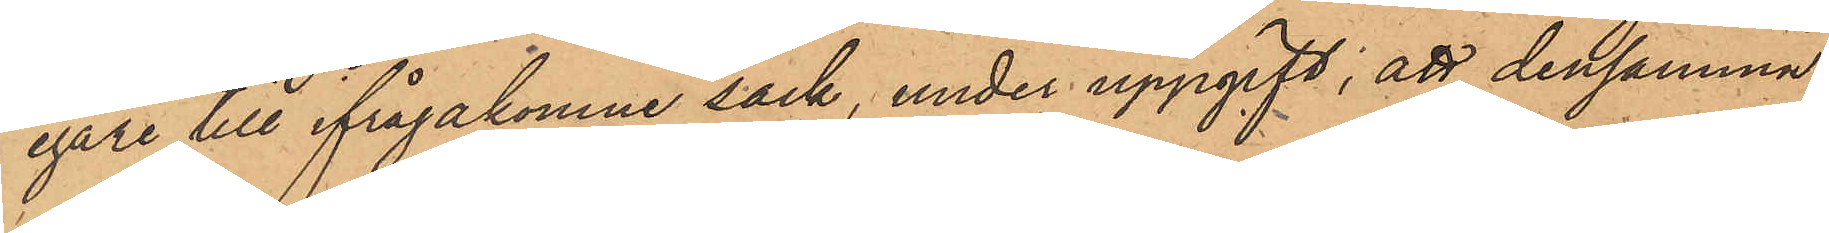egare till ifrågakomne säck, under uppgift, att densamma
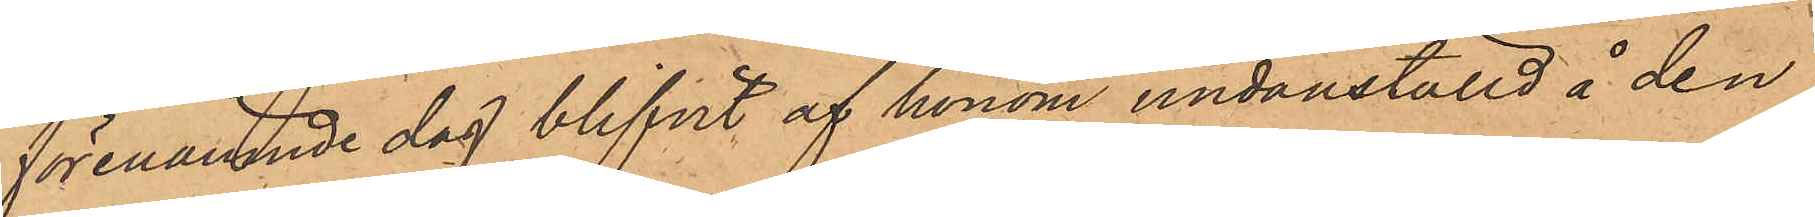förenämnde dag blifvit af honom undanställd å den
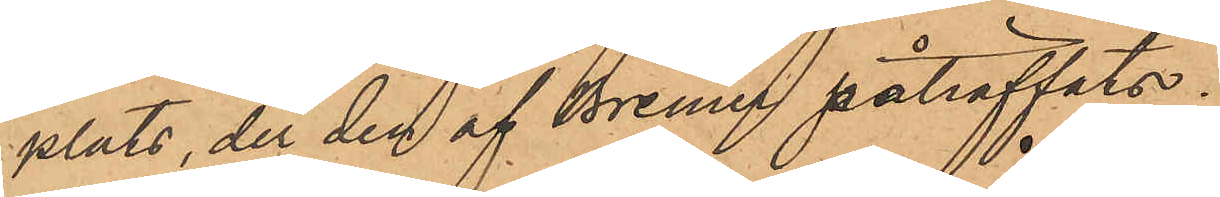plats, der den af Bremer påträffats.
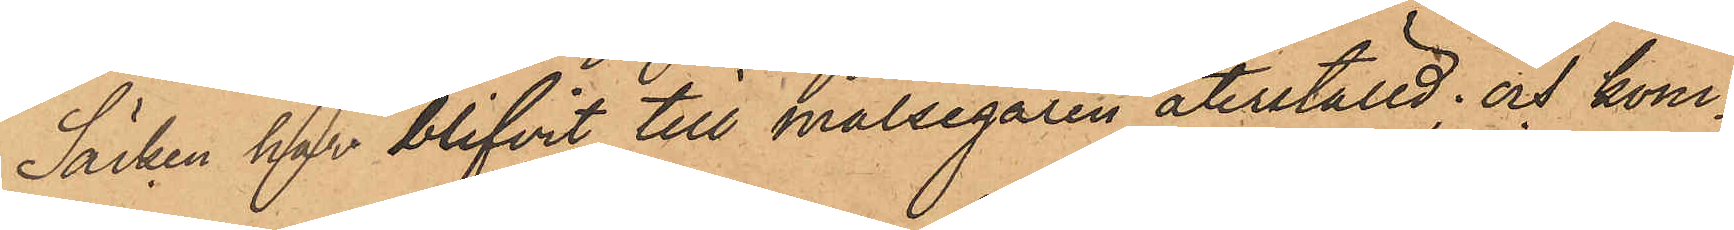Säcken har blifvit till målsegaren återställd; och kom¬
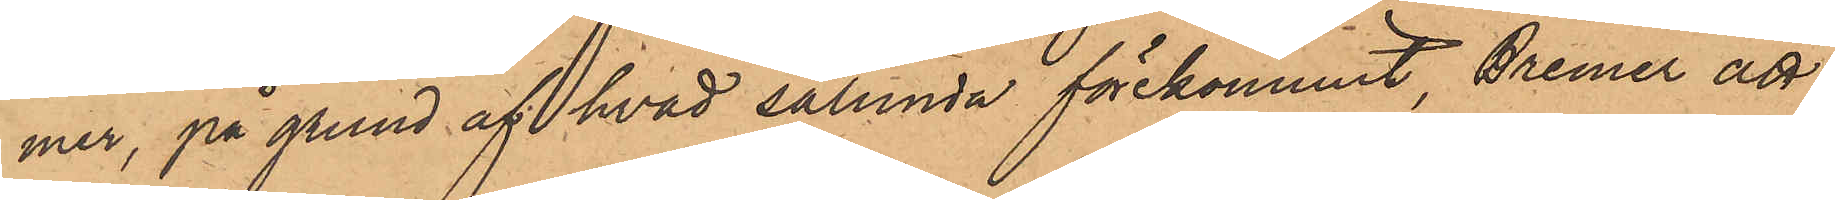mer, på grund af hvad sålunda förekommit, Bremer att
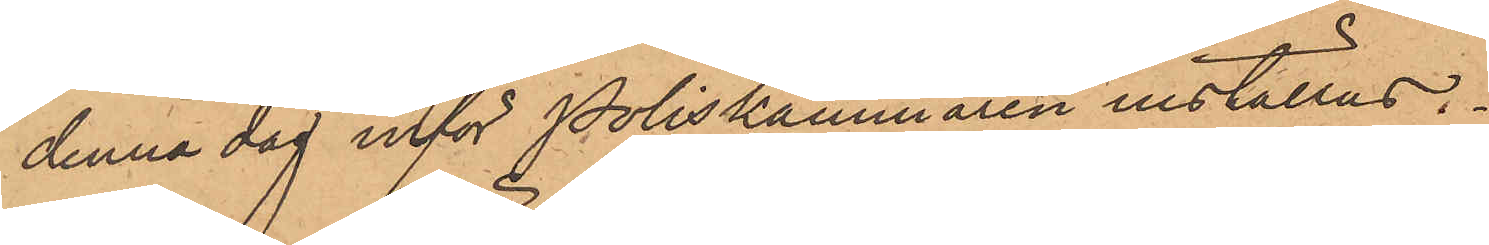denna dag inför Poliskammaren inställas.
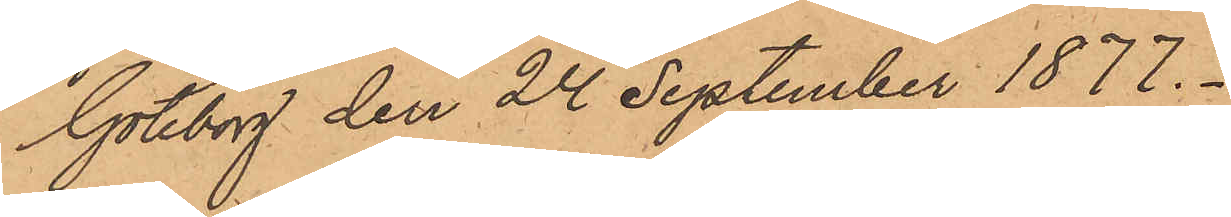Göteborg den 24 September 1877.
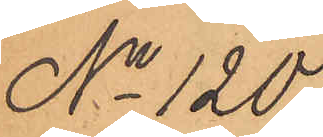No 120.
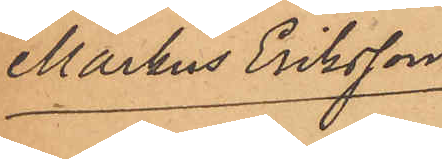Markus Eriksson.
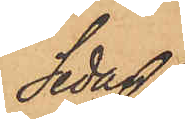Sedan
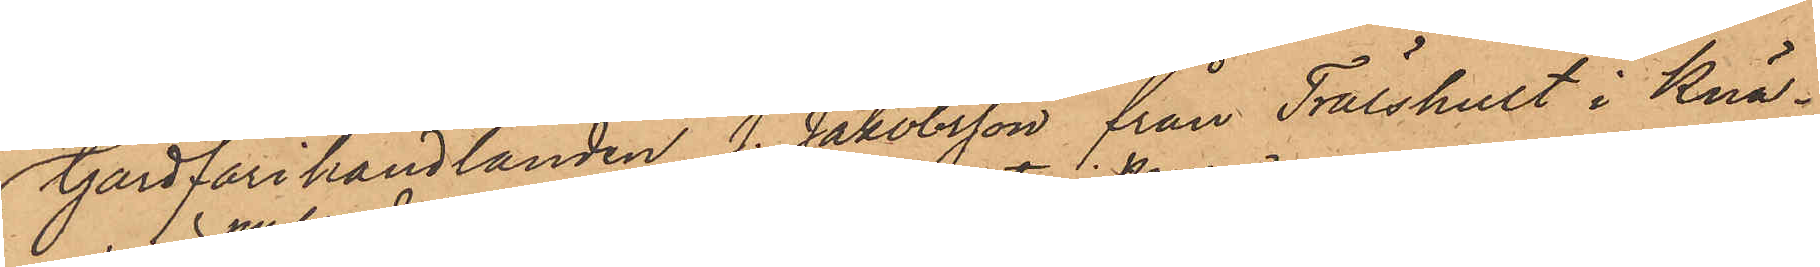Gårdfarihandlanden J. Jakobsson från Trälshult i Knä¬
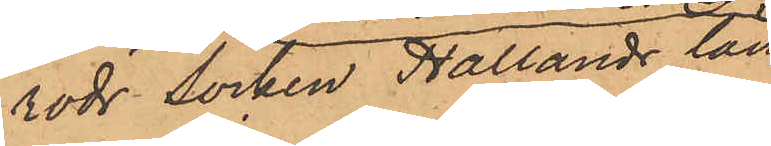röds Socken Hallands län
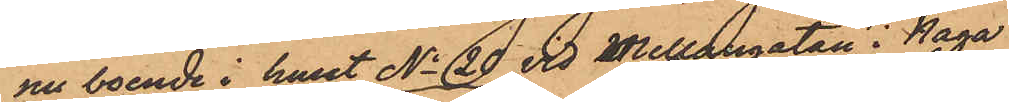nu boende i huset No 20 vid Mellangatan i Haga
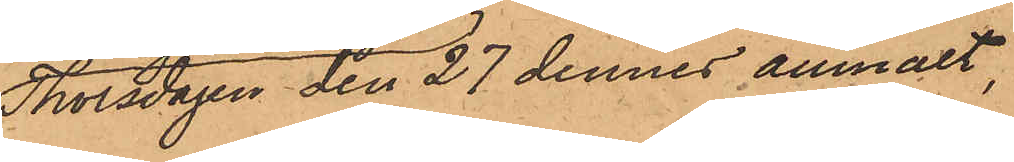Thorsdagen den 27 dennes anmält,
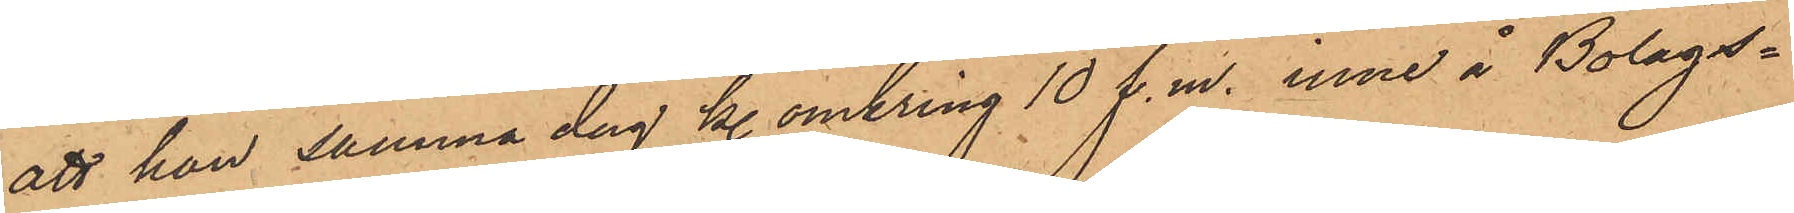att han samma dag kl. omkring 10 f.m. inne å Bolags¬
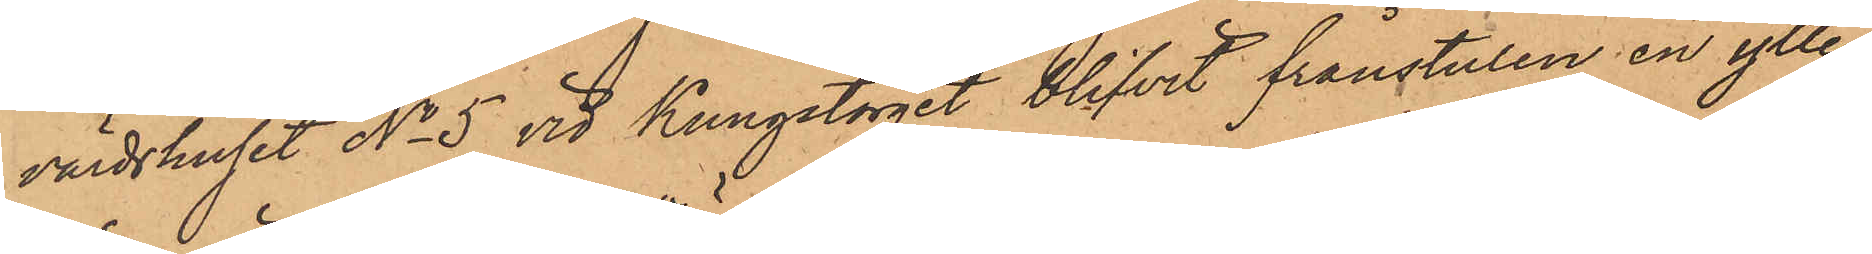värdshuset No 5 vid Kungstorget blifvit frånstulen en ylle¬
